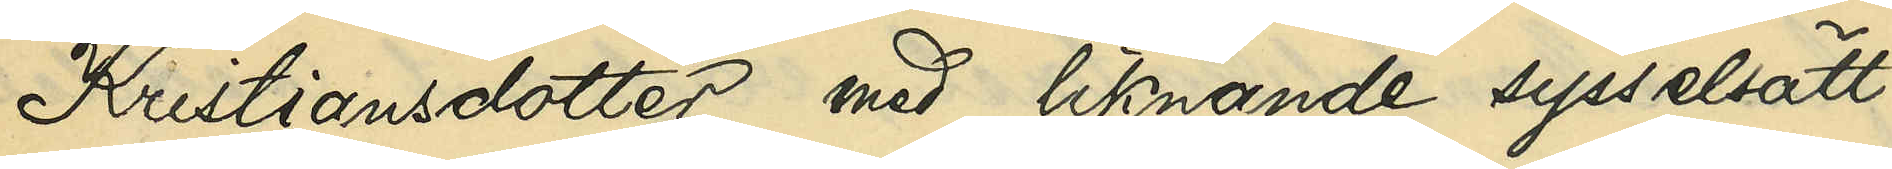Kritiansdotter med liknande sysselsätt¬
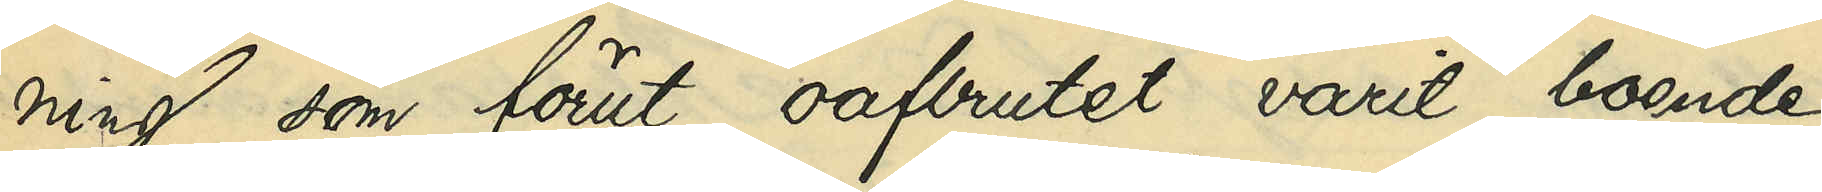ning som förut oafbrutet varit boende
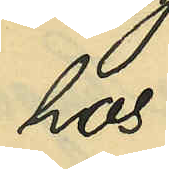hos
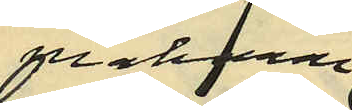makarne
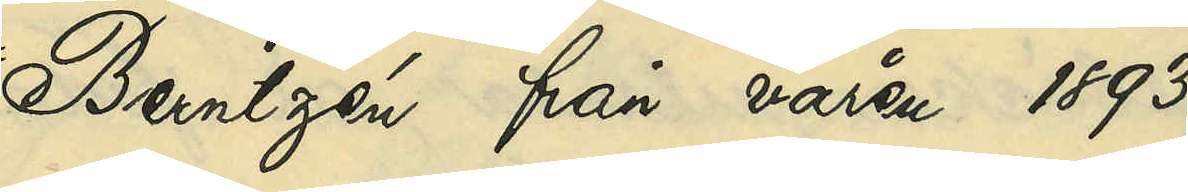Berntzén från våren 1893
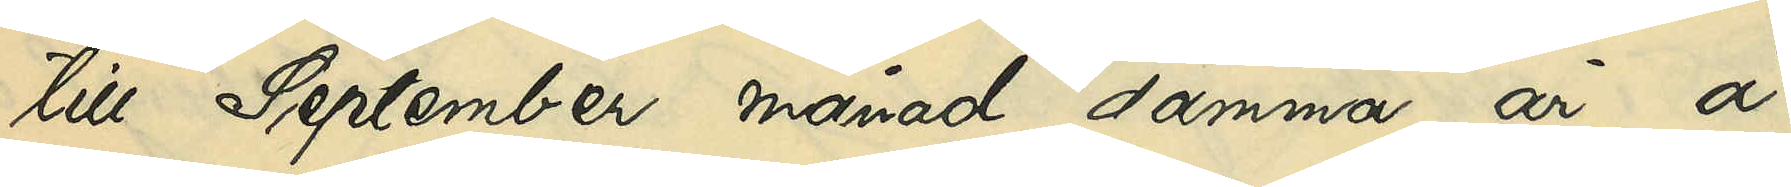till September månad samma år å
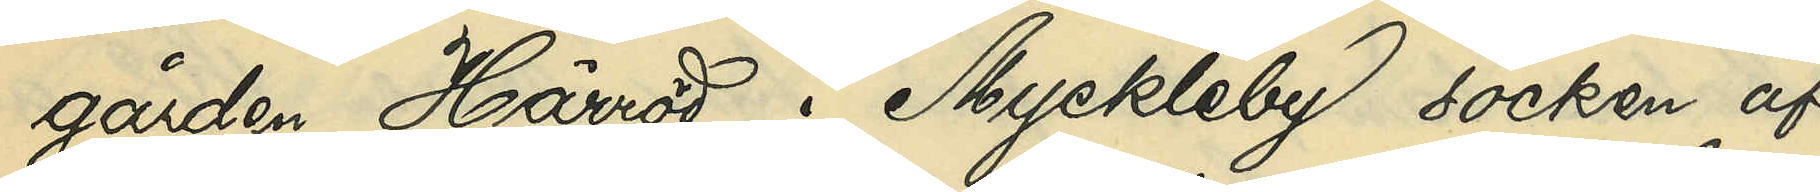gården Härröd i Myckleby socken af
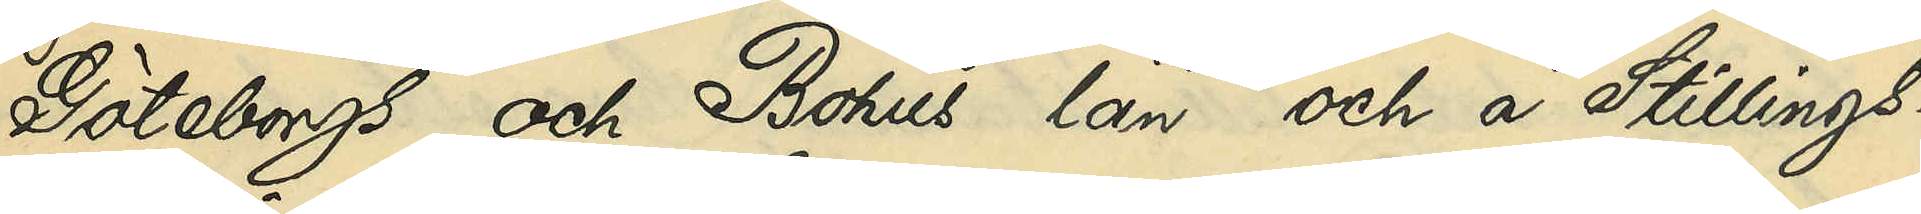Göteborgs och Bohus län och i Stillings¬
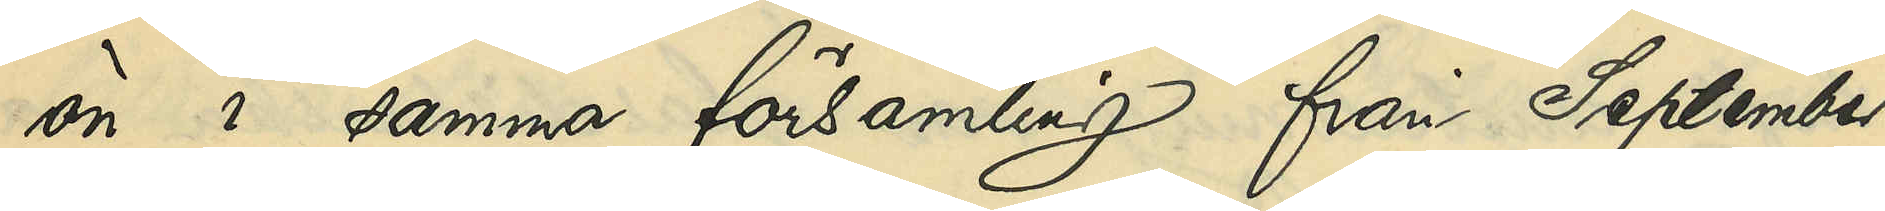ön i samma församling från September
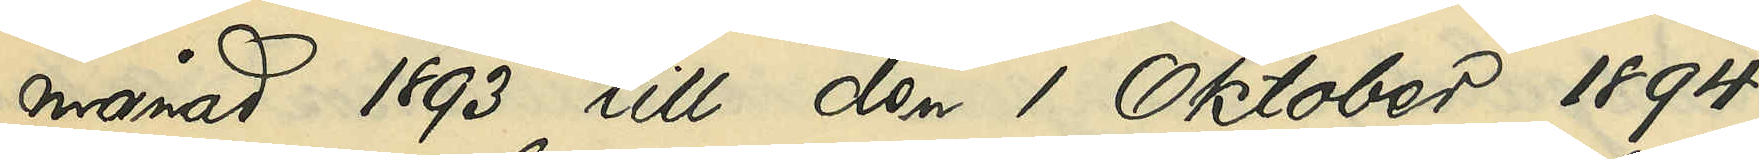månad 1893 till den 1 Oktober 1894,
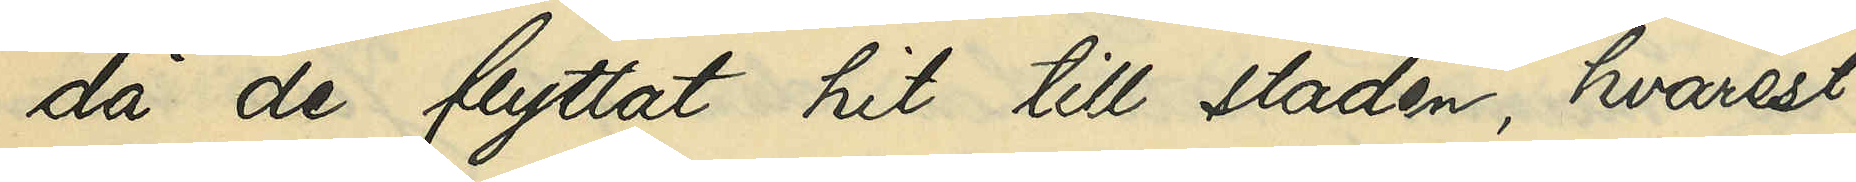då de flyttat hit till staden, hvarest
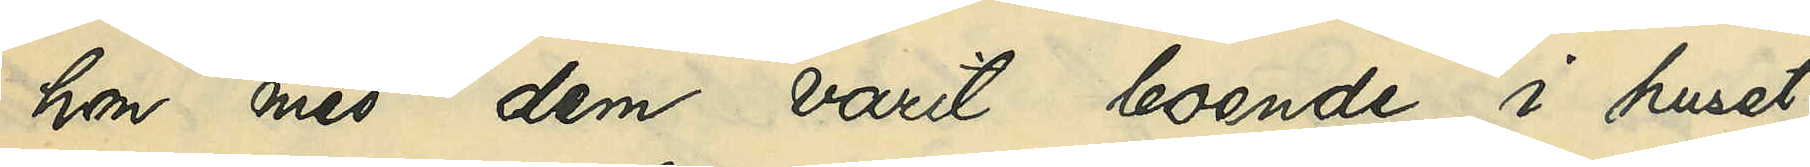hon med dem varit boende i huset
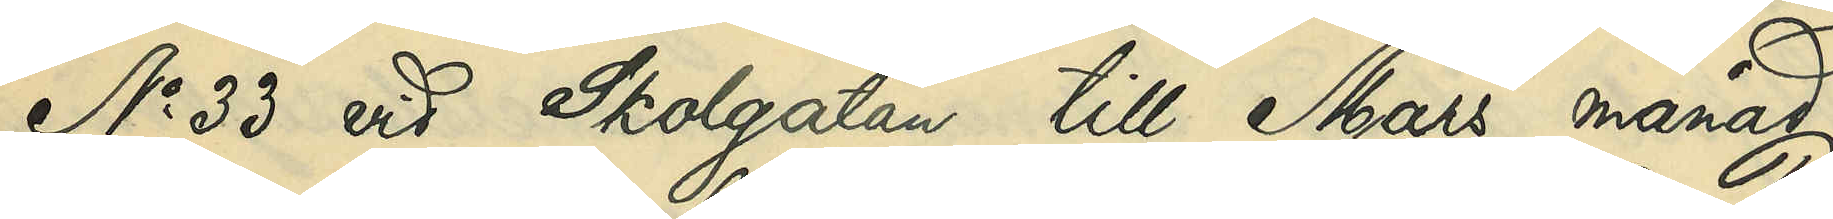No 33 vid Skolgatan till Mars månad
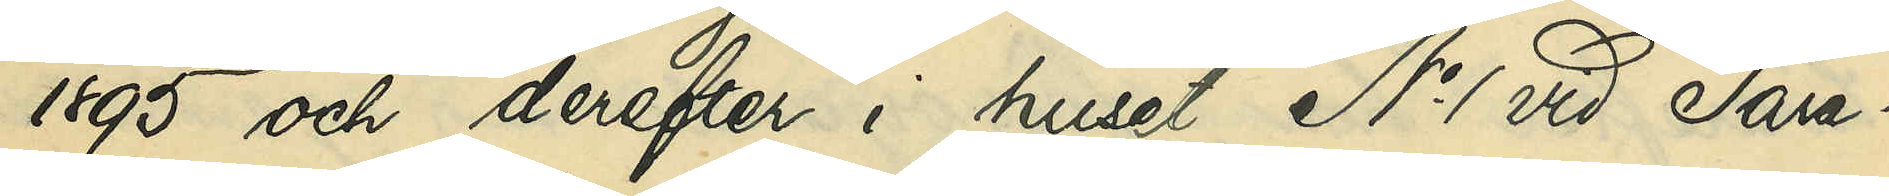1895 och derefter i huset No 1 vid Para¬
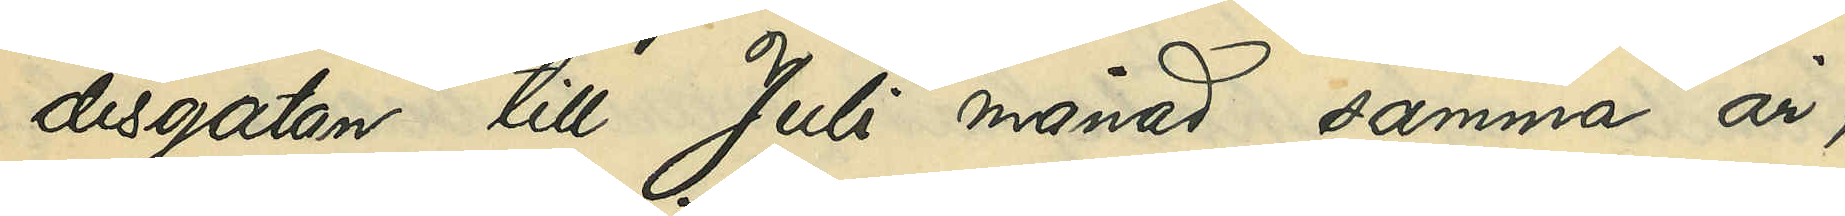disgatan till Juli månad samma år,
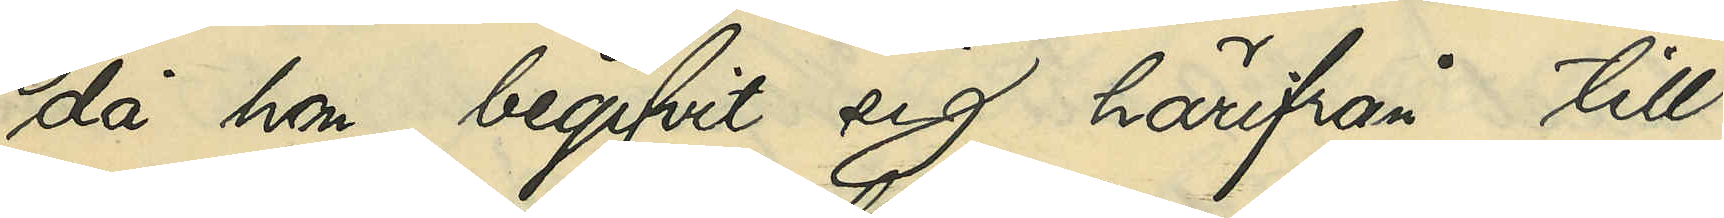då hon begifvit sig härifrån till
